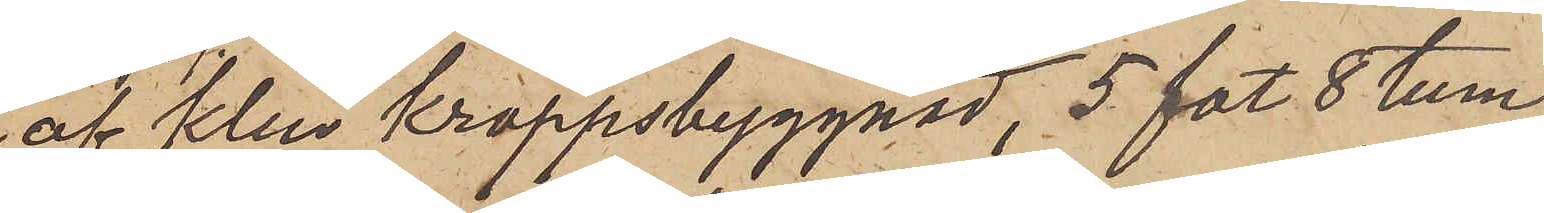af klen kroppsbyggnad, 5 fot 8 tum
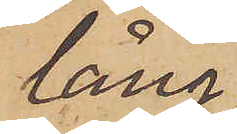lång,
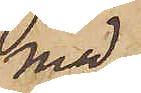med
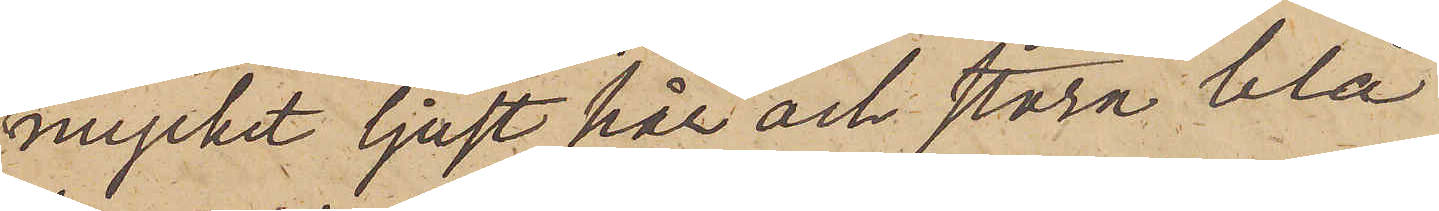mycket ljust hår och stora blå
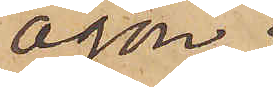ögon,
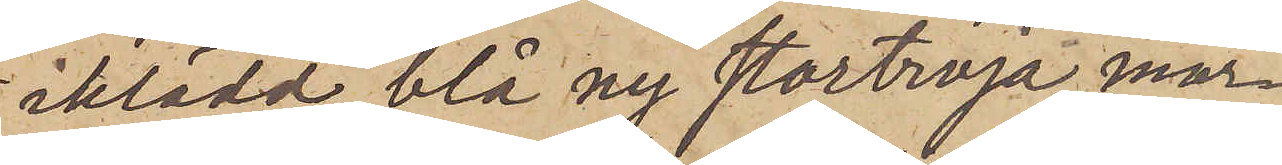iklädd blå ny stortröja, mör¬
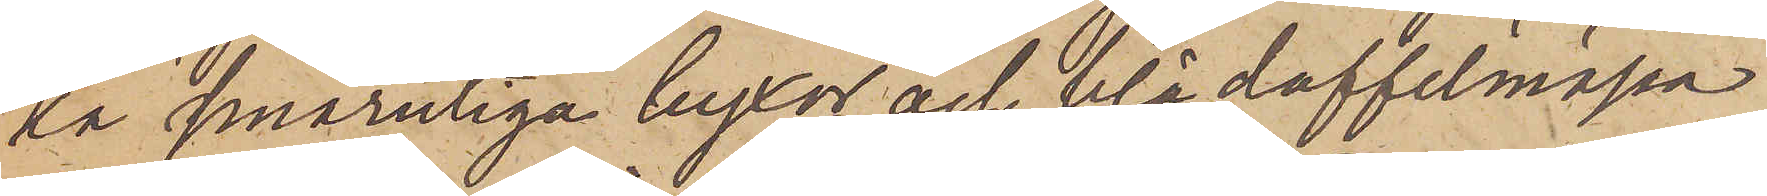ka smårutiga byxor och blå doffelmössa
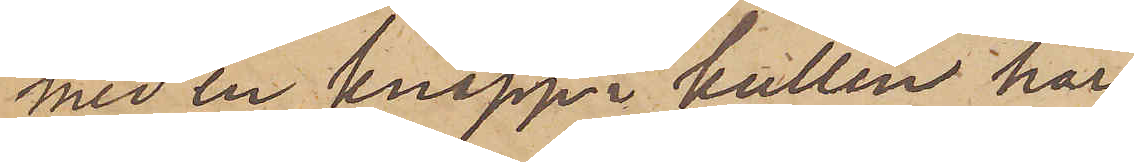med en knapp i kullen har
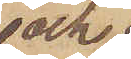och
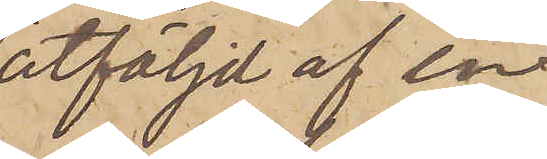åtföljd af en
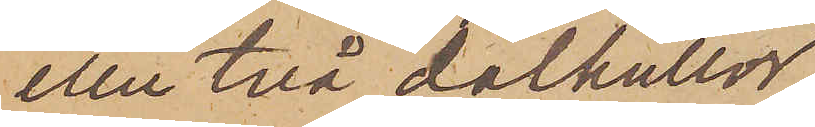eller två dalkullor
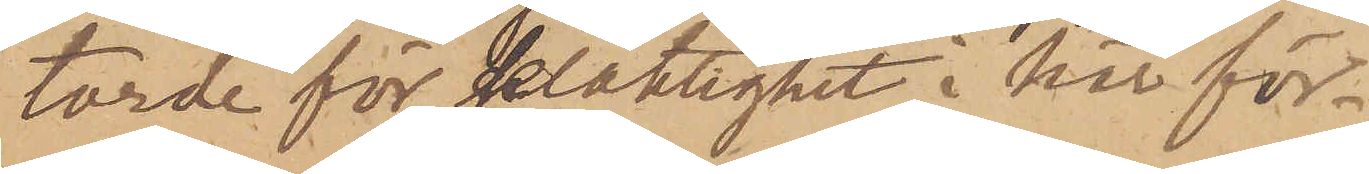torde för delaktighet i här för¬
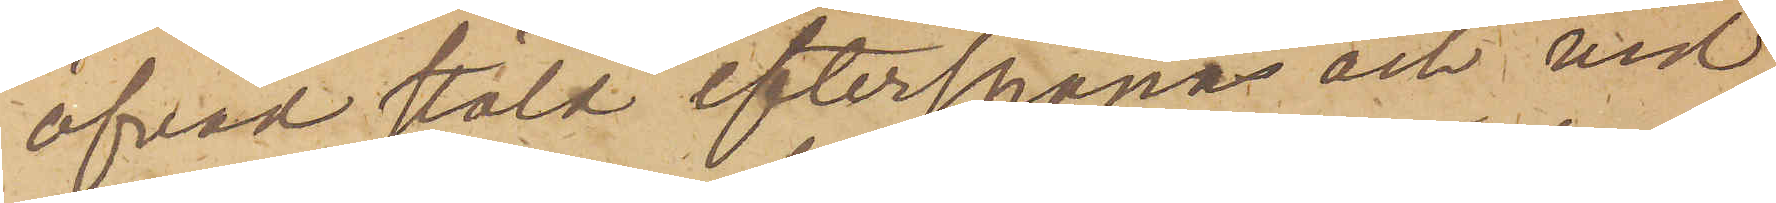öfvad stöld efterspanas och vid
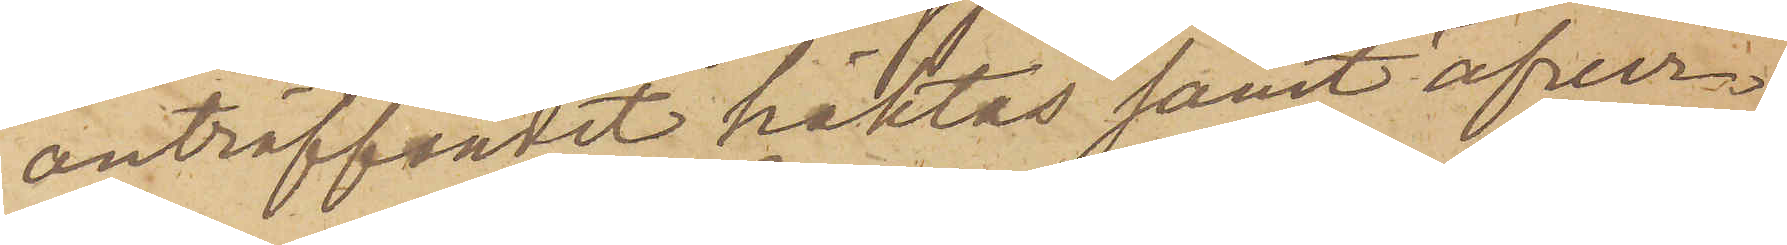anträffandet häktas samt öfver¬
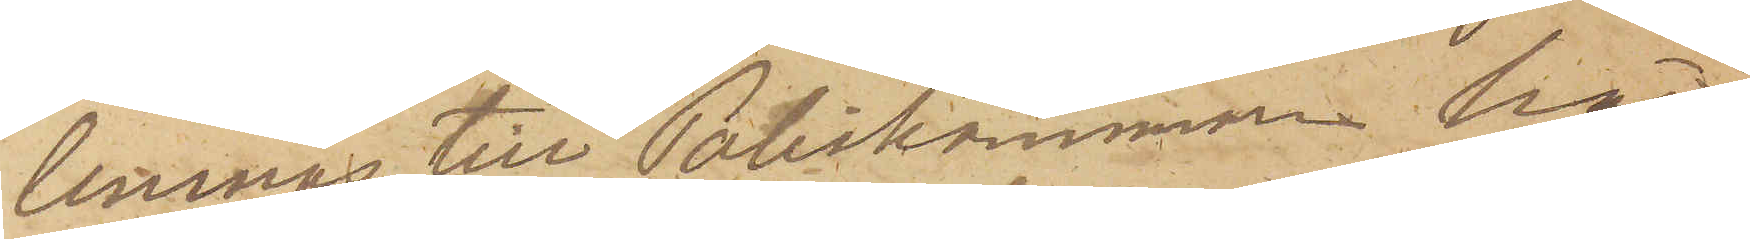lemnas till Poliskammaren här
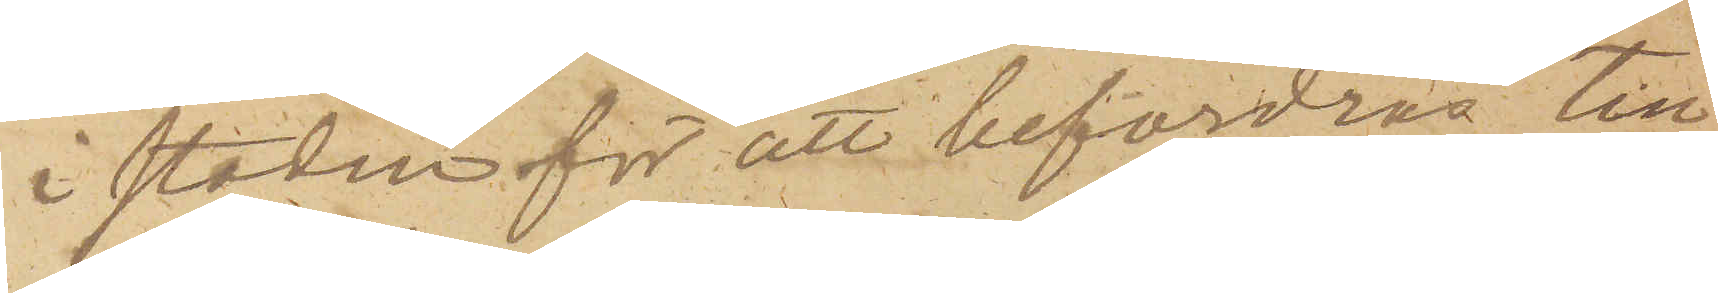i staden för att befordras till
